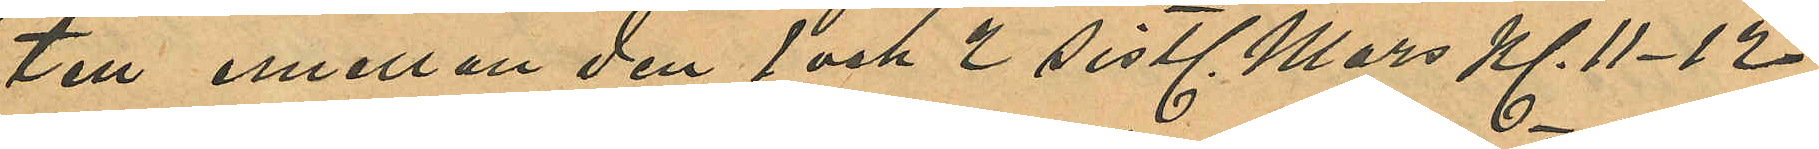ten emellan den 1 och 2 sistl. Mars Kl. 11-12
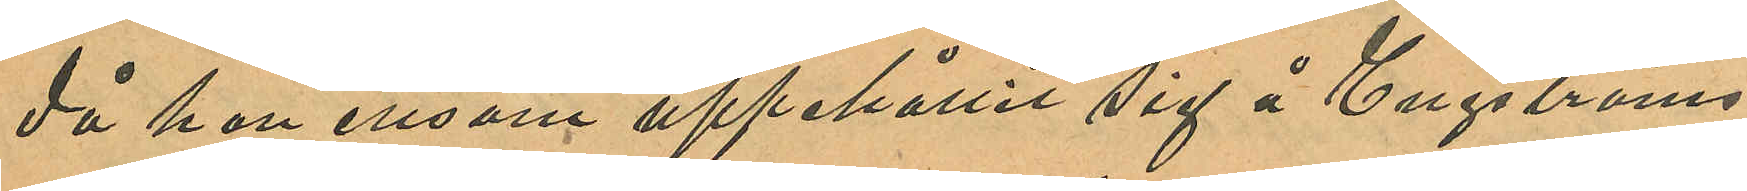då hon ensam uppehållit sig å Engströms
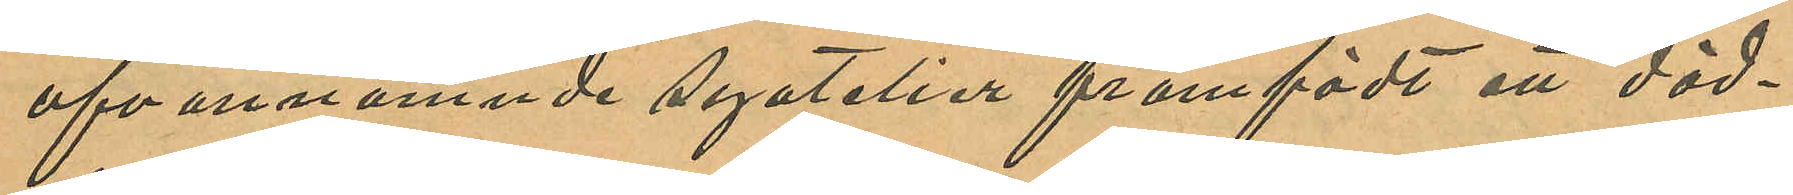ofvannämnde syatelier framfödt att död¬
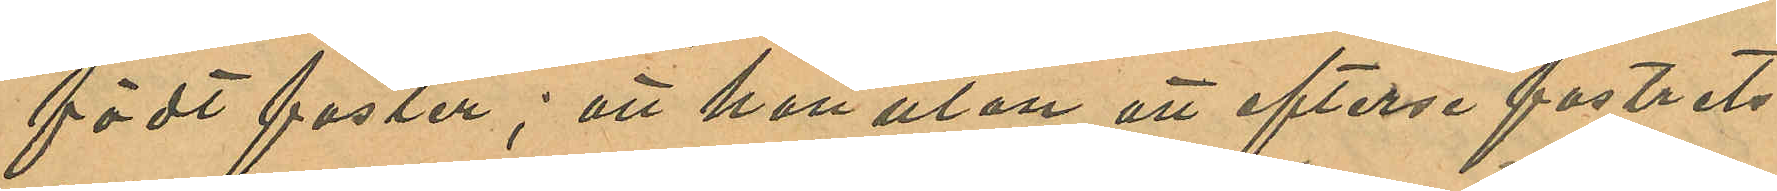födt foster; att hon utan att efterse fostrets
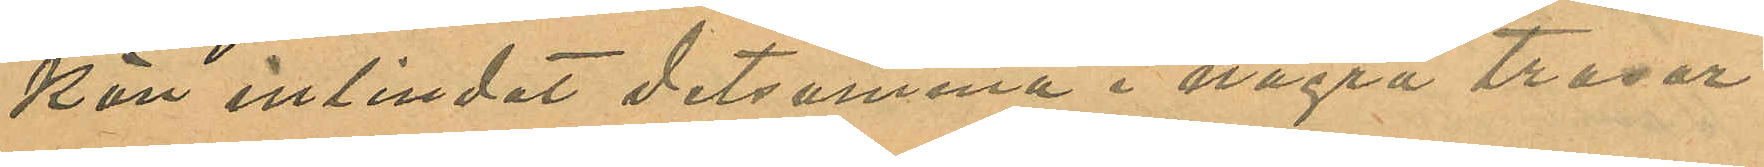kön inlindat detsamma i några trasor
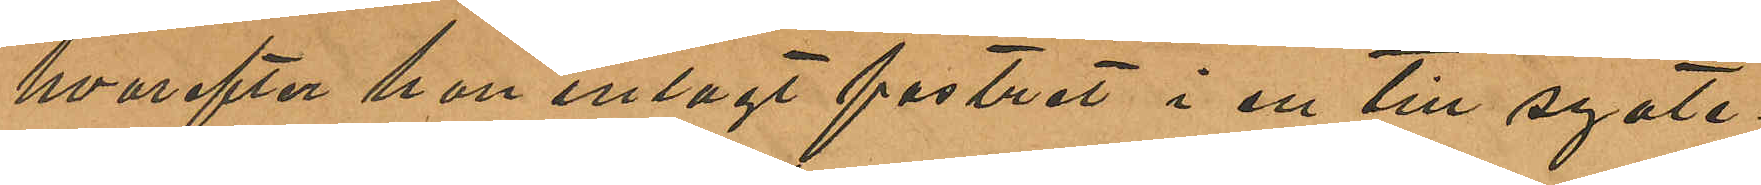hvarefter han inlagt fostret i en till syate¬
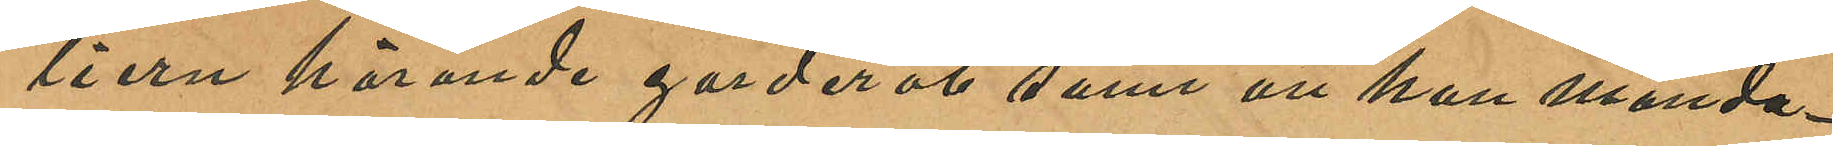liern hörande garderob samt att hon månda¬
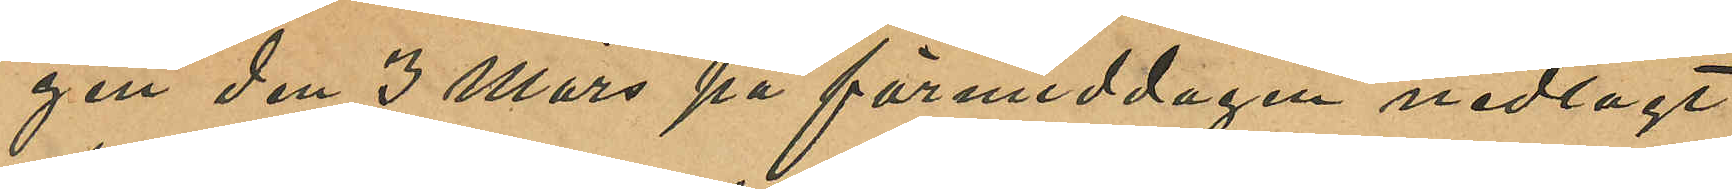gen den 3 Mars på förmiddagen nedlagt
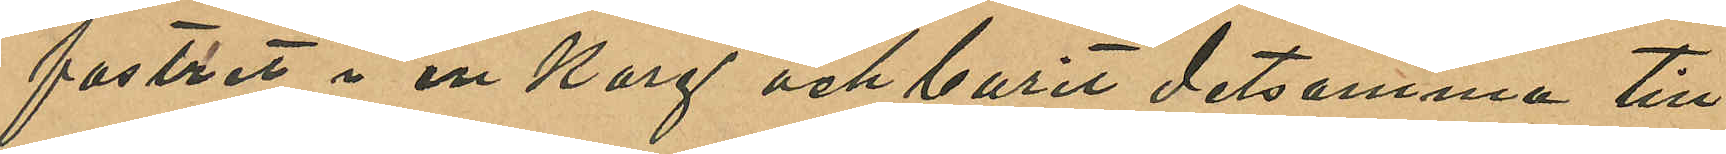fostret i en korg och burit detsamma till
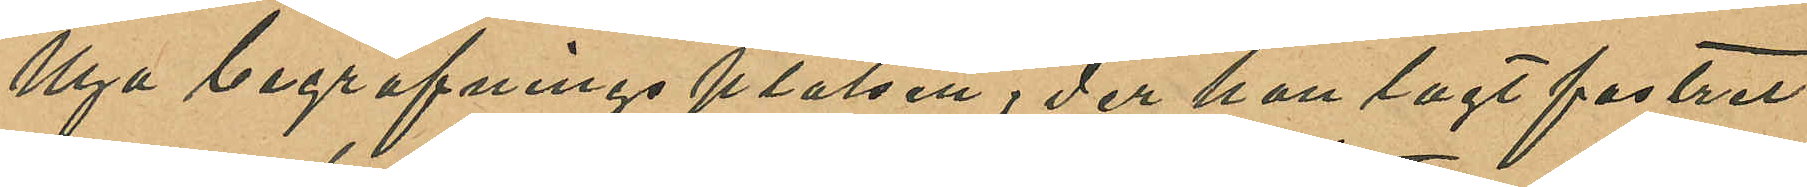Nya begrafningsplatsen, der hon lagt fostret
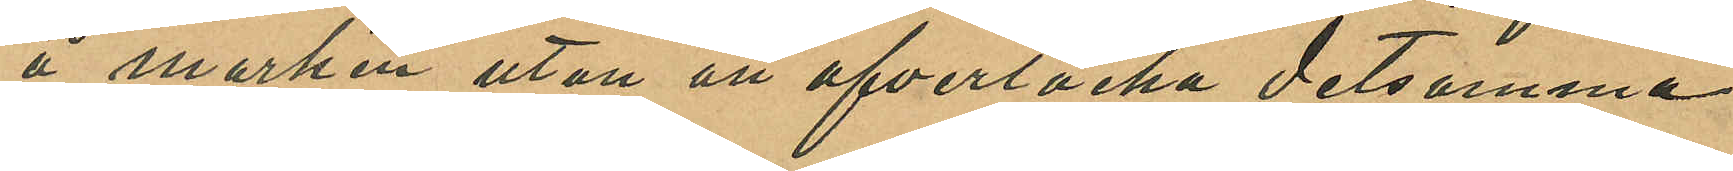å marken utan ant öfvertäcka detsamma
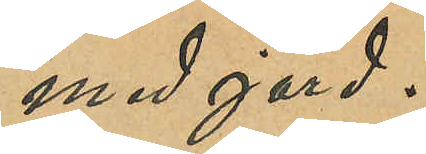med jord.
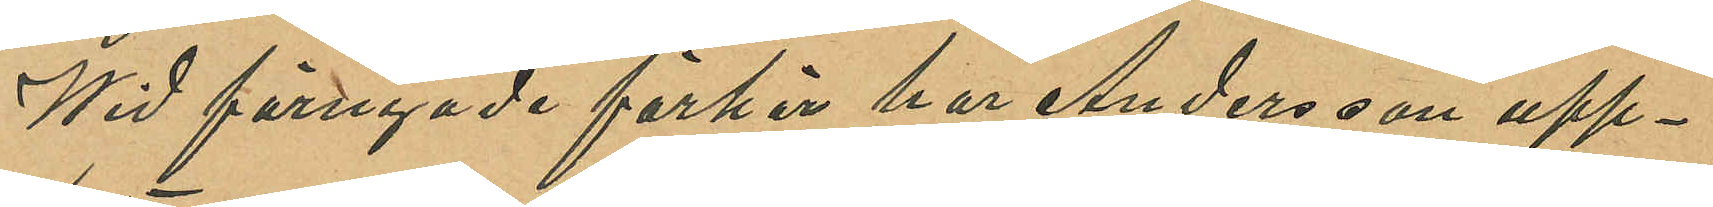Wid förnyade förhör har Andersson upp¬
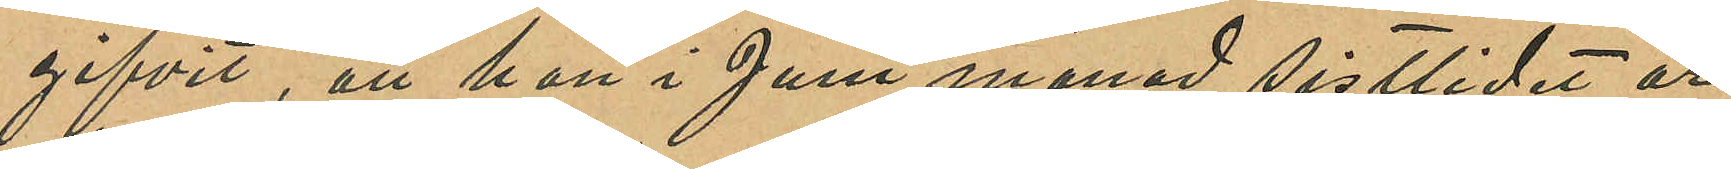gifvit, att hon i Juni månad sistlide år
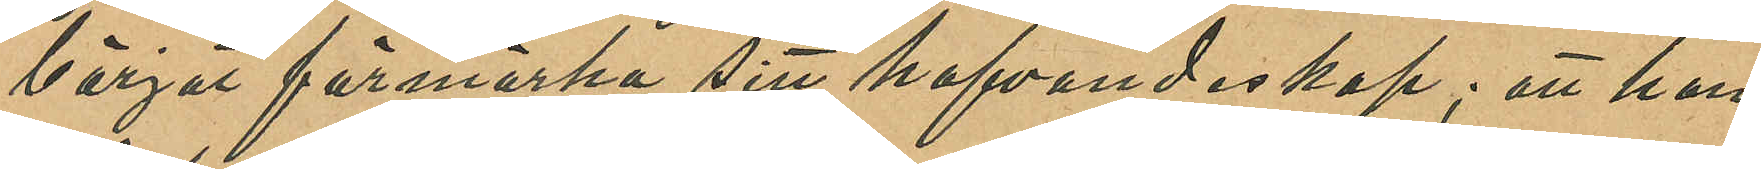börjat förmärka sitt hafvandeskap; att hon
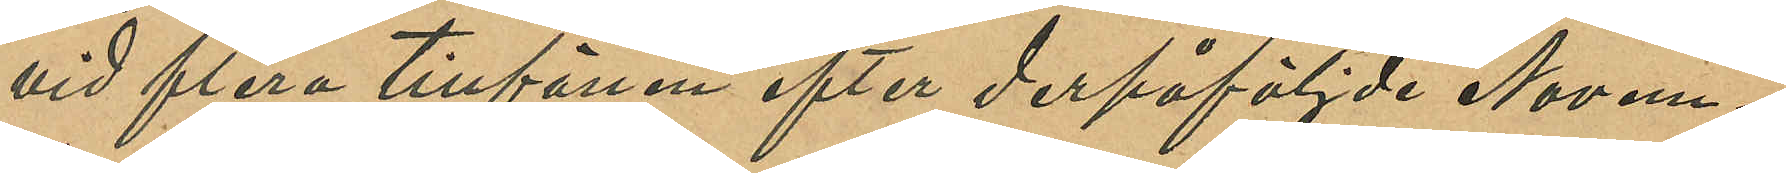vid flera tillfällen efter derpåföljde Novem¬
